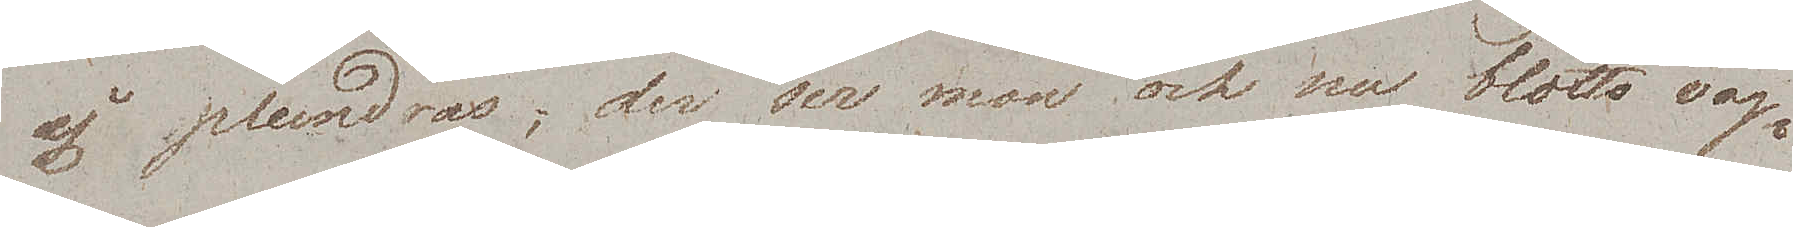ej plundras; der ser man ock nu blotta väg¬
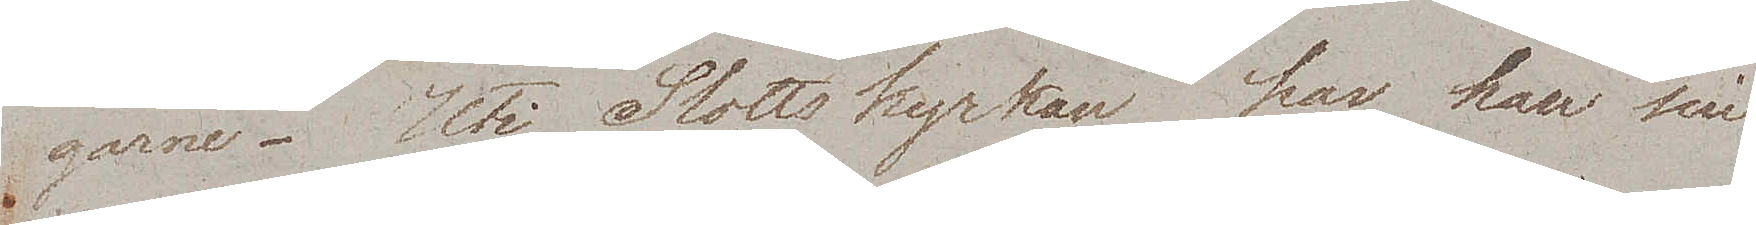garne. Uti Slottskyrkan har han sin
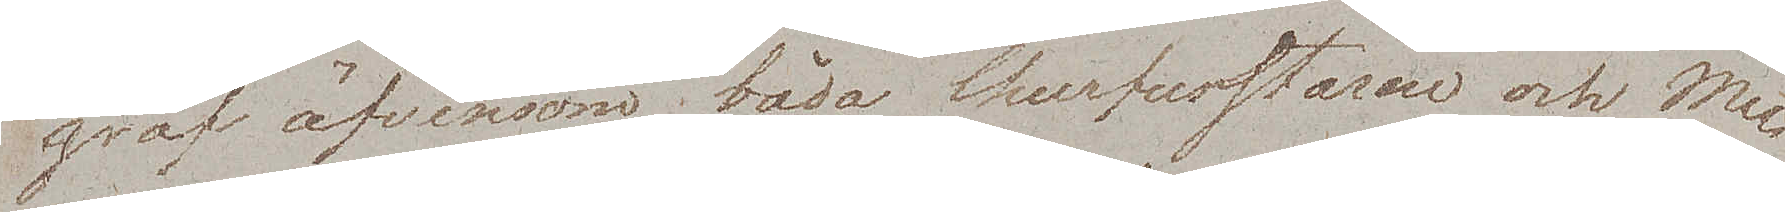graf äfvensom båda Churfurstarne och Me¬
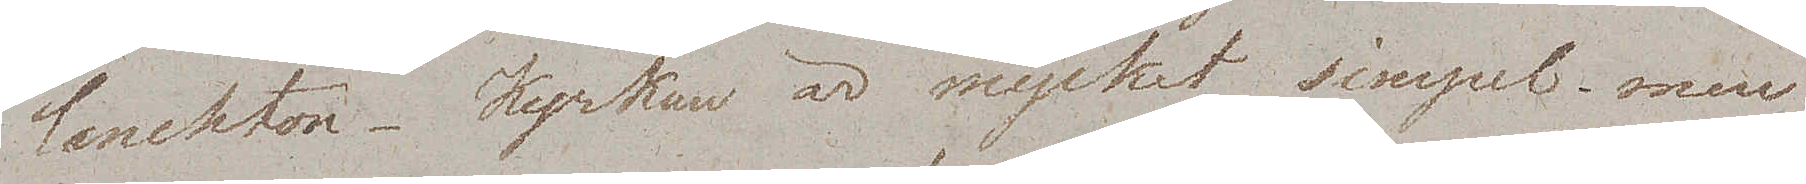lanchton. Kyrkan är mycket simpel, men
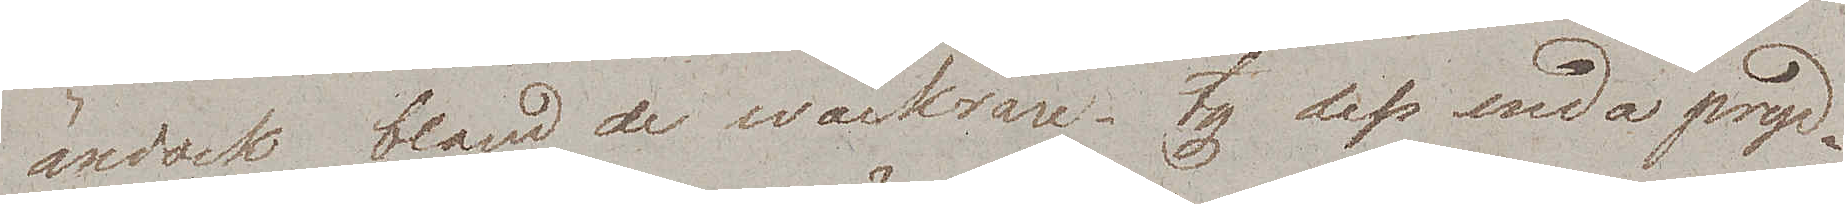ändock bland de wackrare, ty dess enda pryd¬
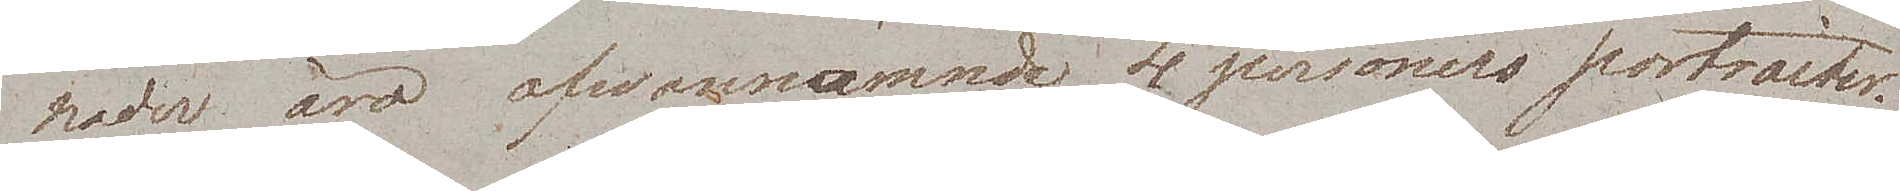nader äro ofwannämnda 4 personers portraiter.
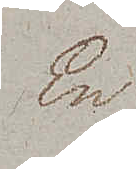En
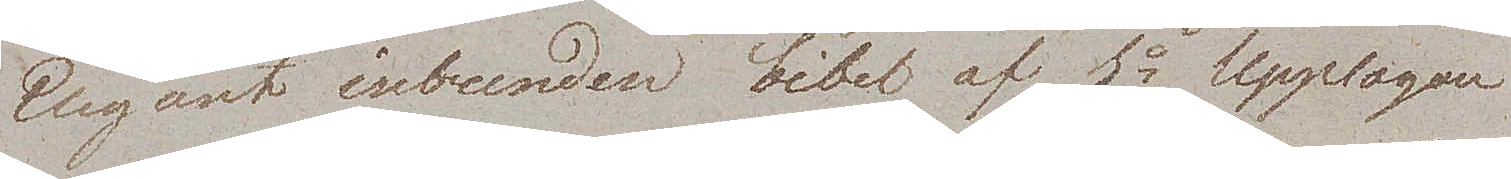Elegant inbunden bibel af 1a Upplagan
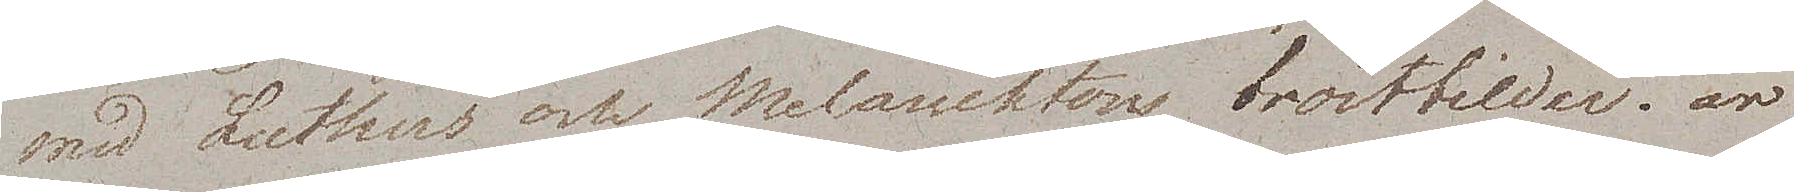med Luthers och Melanchtons bröstbilder, är
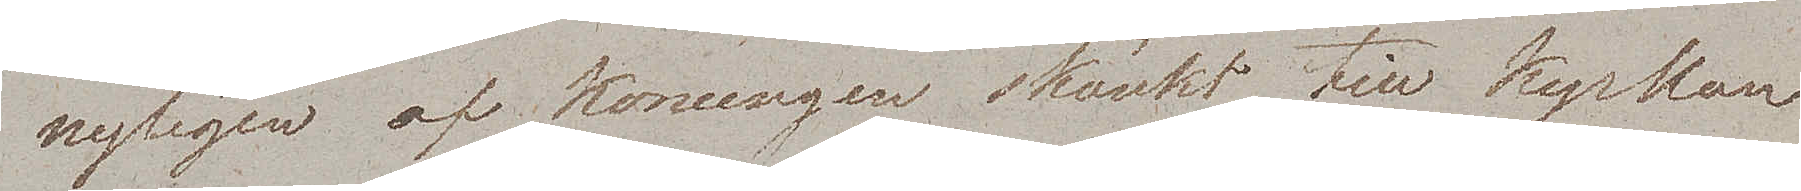nyligen af Konungen skänkt till kyrkan
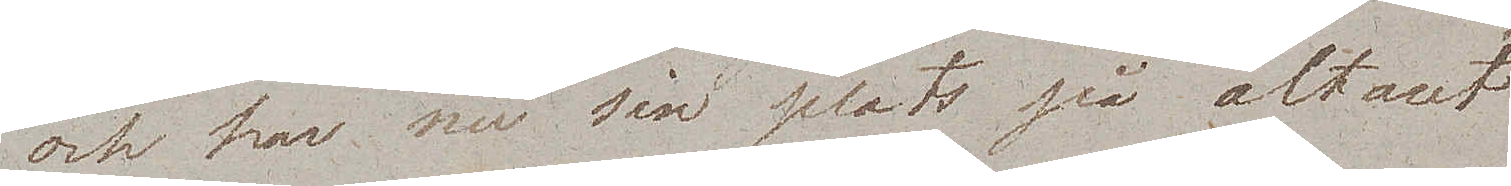och har nu sin plats på altaret.
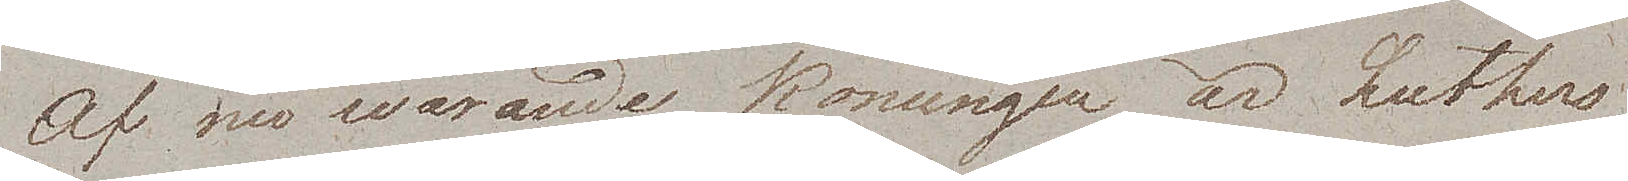Af nuwarande Konungen är Luthers
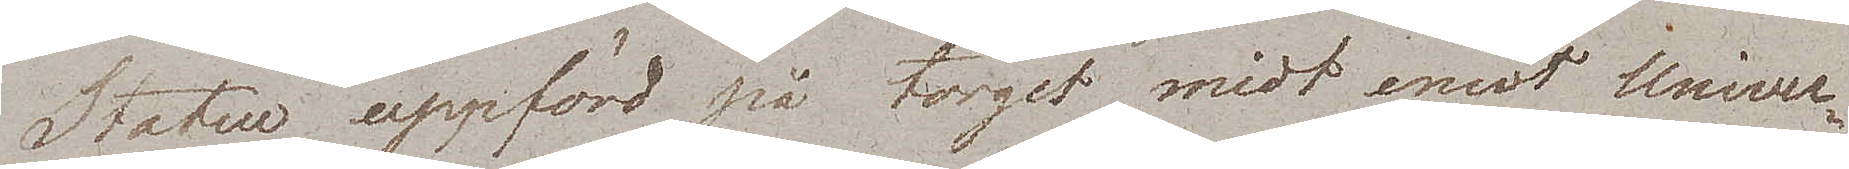Statue uppförd på torget midt emot Univer¬
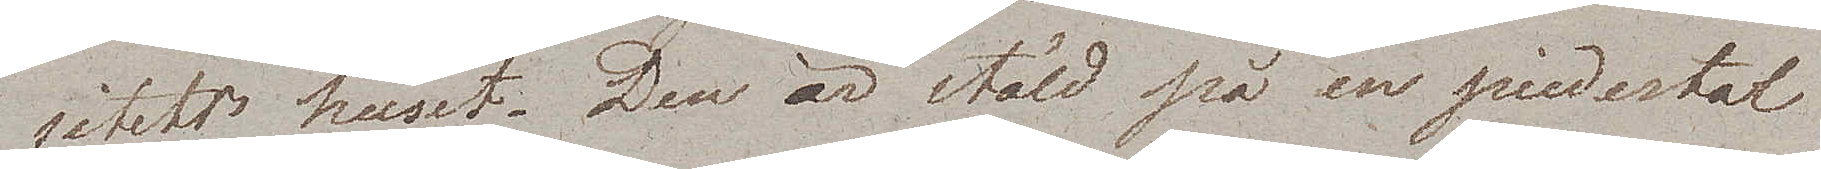sitetshuset. Den är stäld på en piedestal
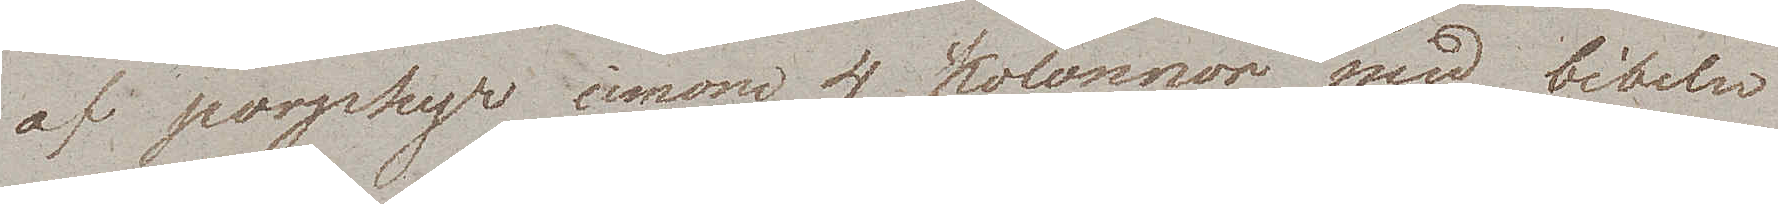af porphyr inom 4 kolonner med bibeln
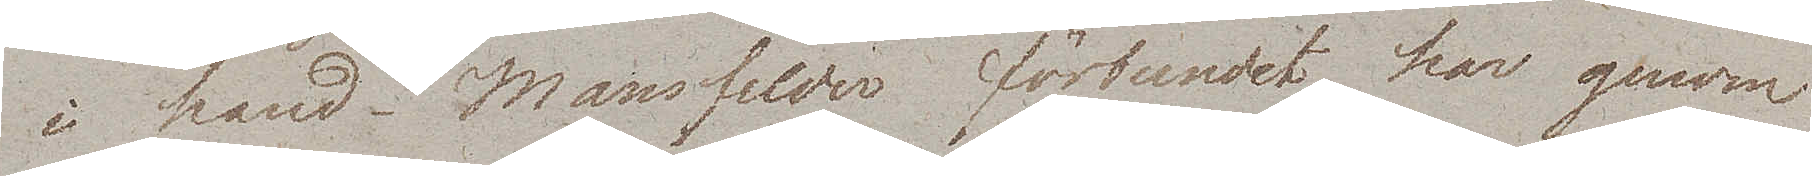i hand. Mansfelder förbundet har genom
